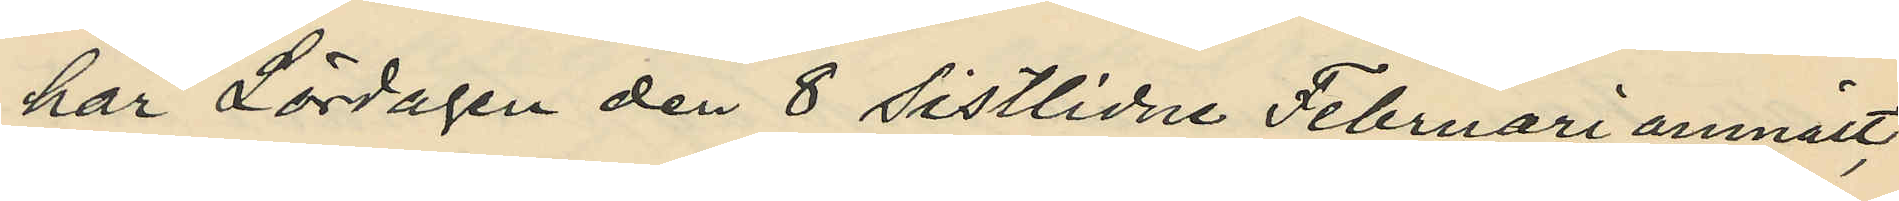har Lördagen den 8 sistlidne Februari anmält
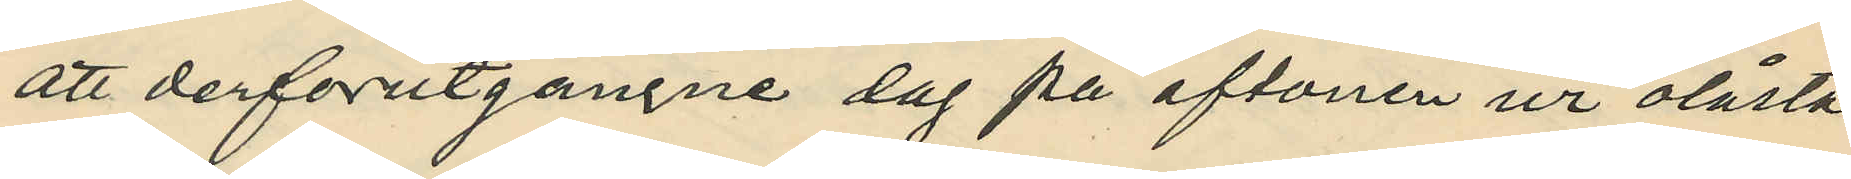att derförutgångne dag på aftonen ur olåsta
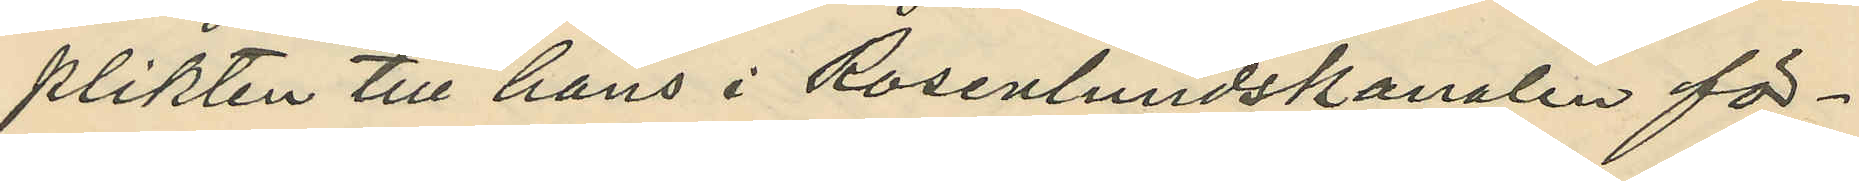plikten till hans i Rosenlundskanalen för¬
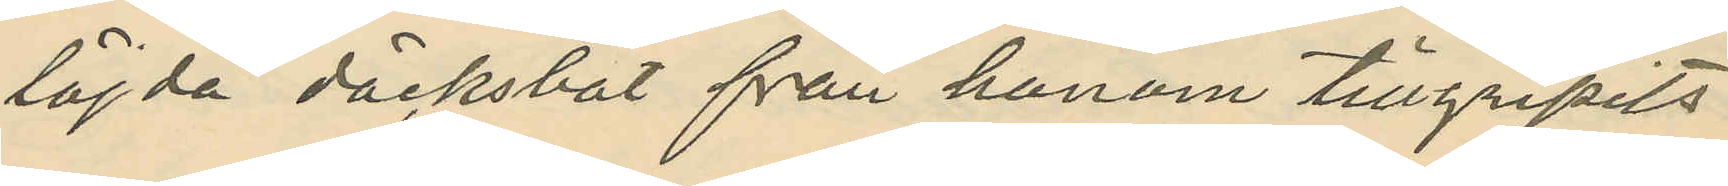höjda däcksbåt från honom tillgripits
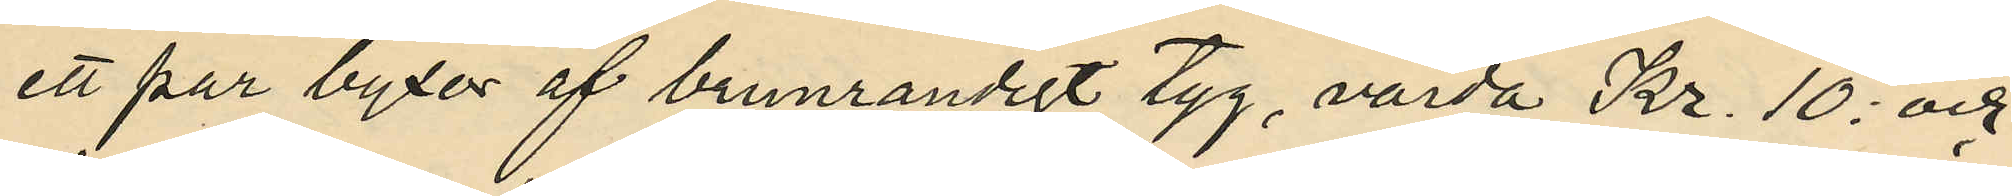ett par byxor af brunrandigt tyg, värda Kr. 10: och
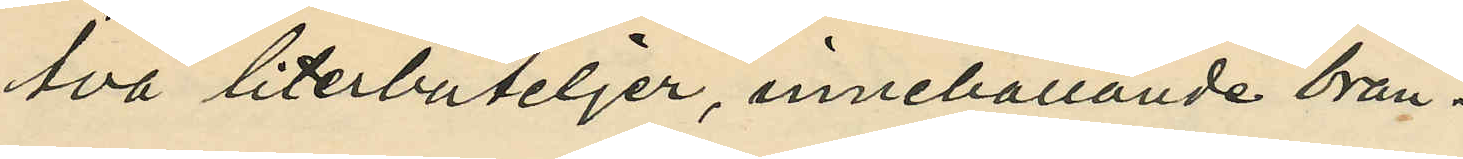två literbuteljer, innehållande brän¬
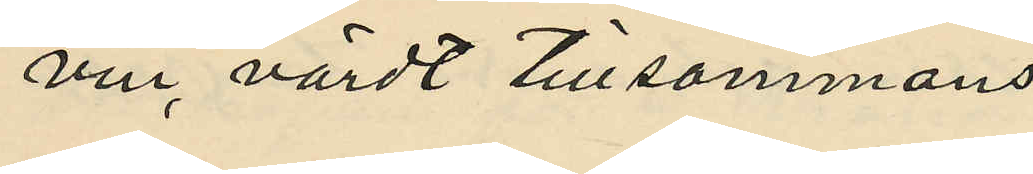vin, värdt tillsammans
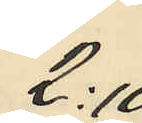2:10
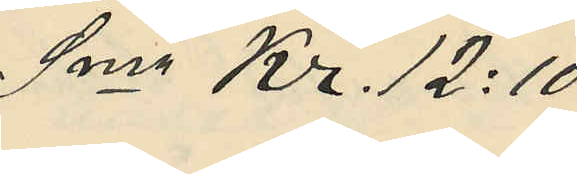Sma Kr. 12:10
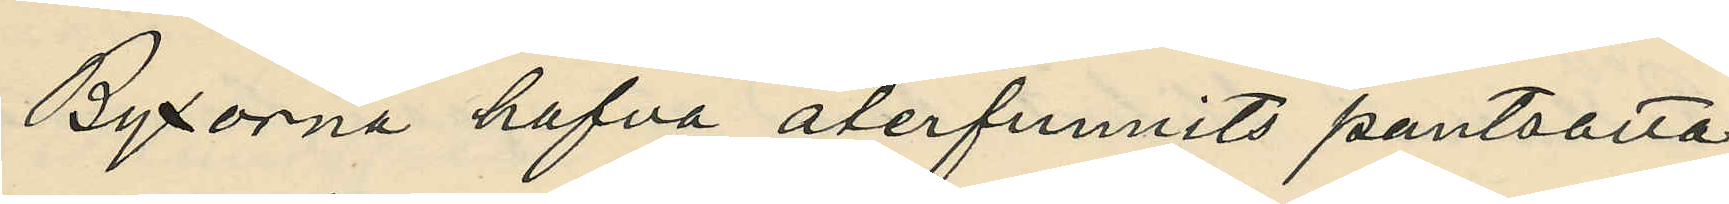Byxorna hafva återfunnits pantsatta
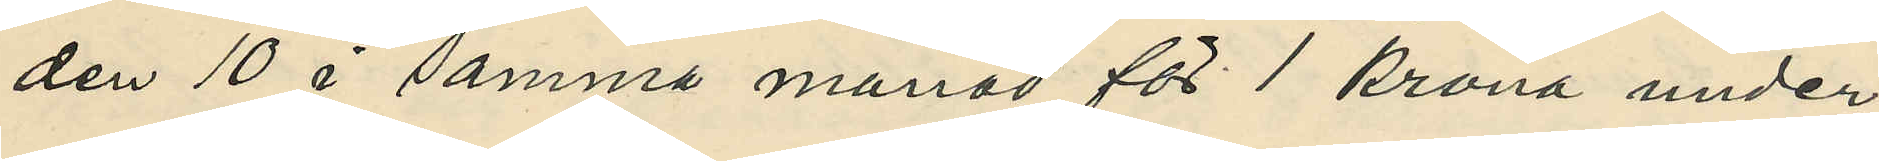den 10 i samma månad för 1 krona under
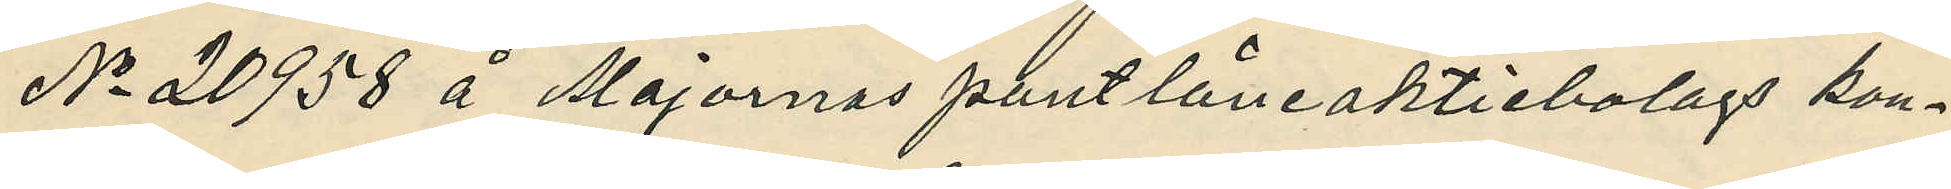No 20958 å Majornas pantlåneaktiebolags kon¬
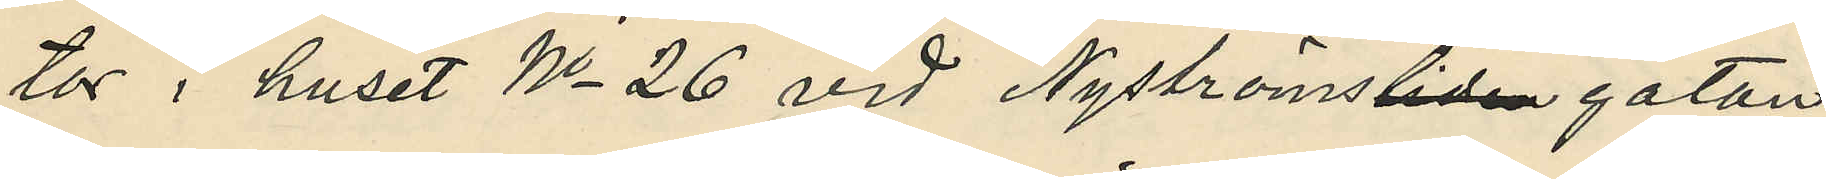tor i huset No 26 vid Nyströmslidengatan
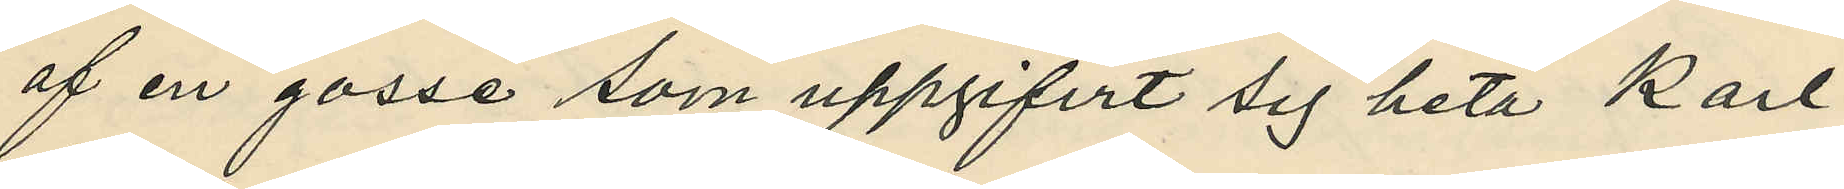af en gosse som uppgifvit sig heta Karl
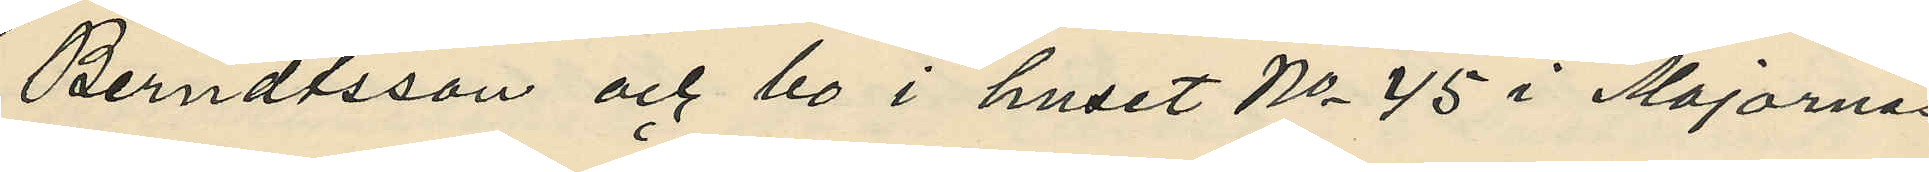Berndtsson och bo o huset No 45 i Majornas
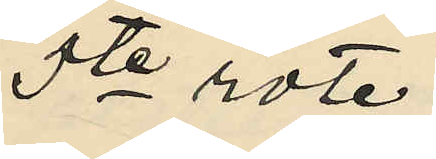5te rote.
